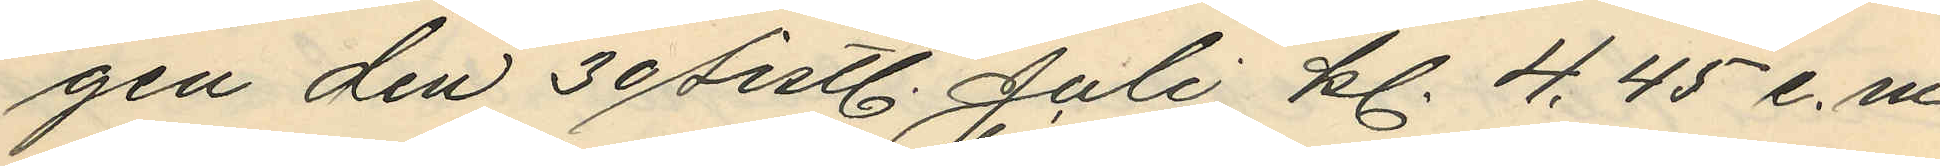gen den 30 sistl. Juli kl. 4.45 e.m.
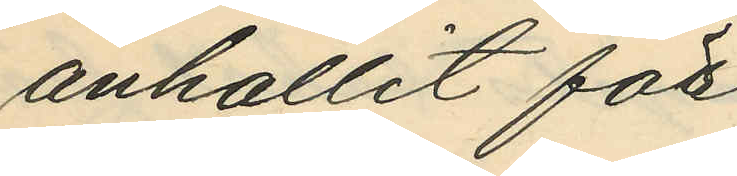anhållit för
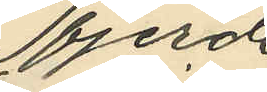fjerde
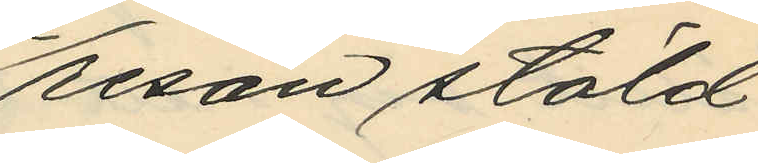resan stöld
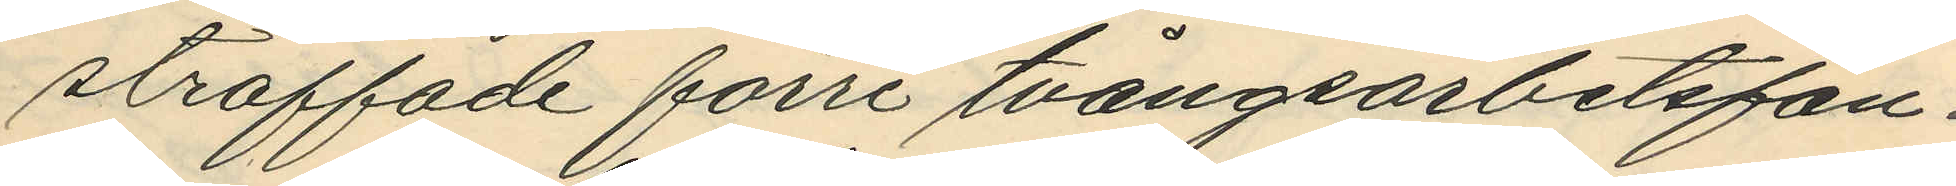straffade förre tvångsarbetsfån¬
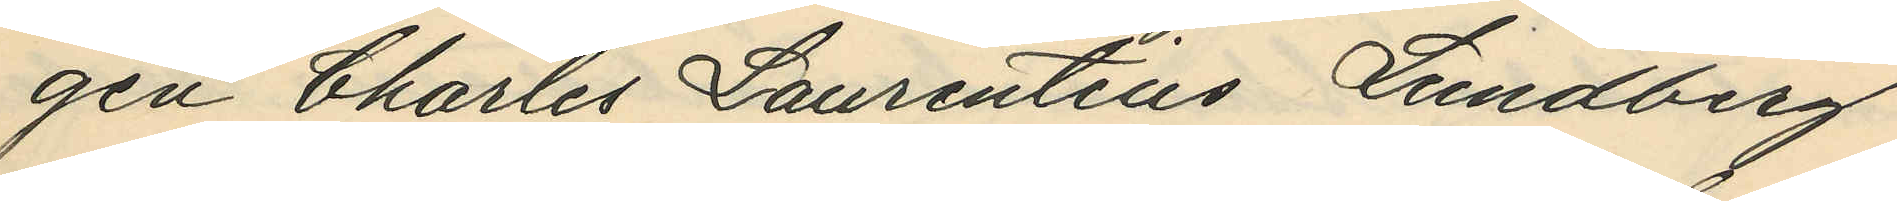gen Charles Laurentius Lundberg
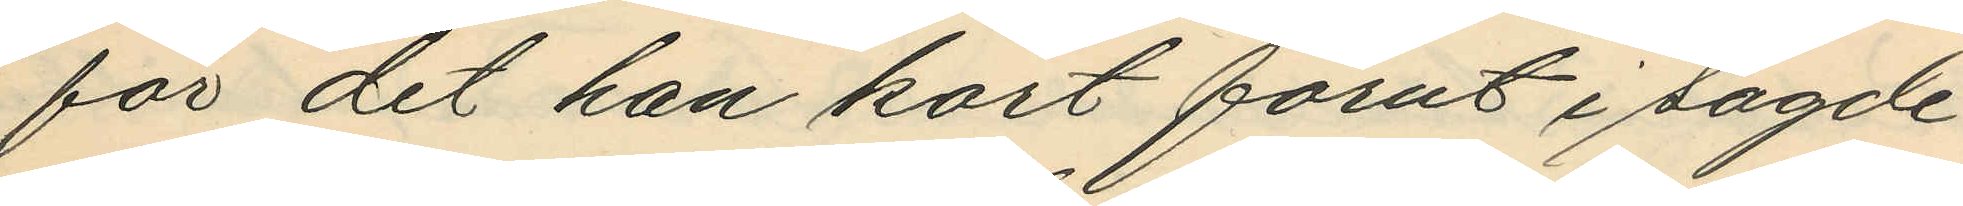för det han kort förut i sagde
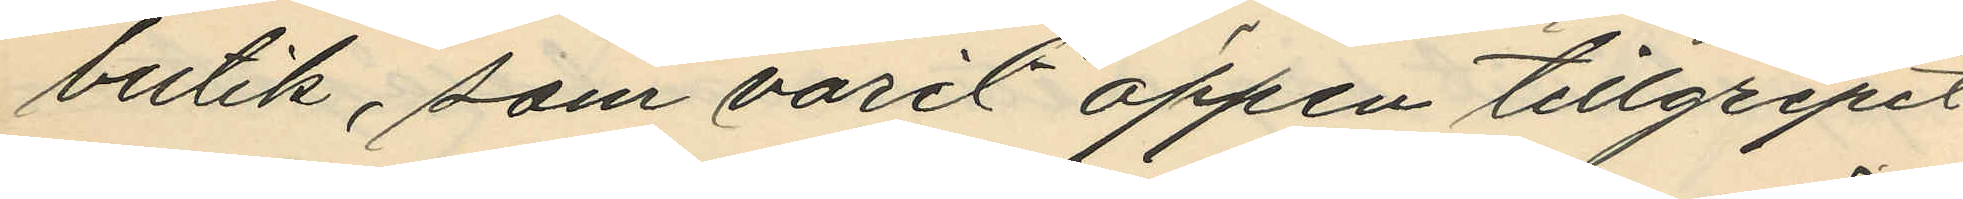butik, som varit öppen tillgripit
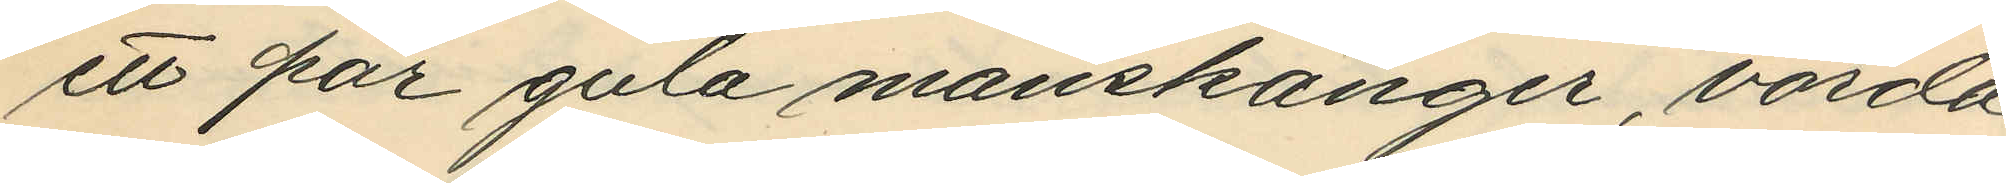ett par gula manskänger, värda
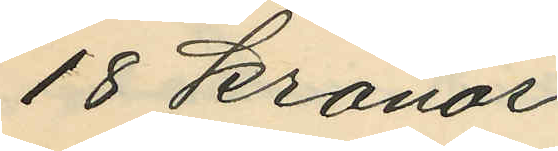18 kronor.
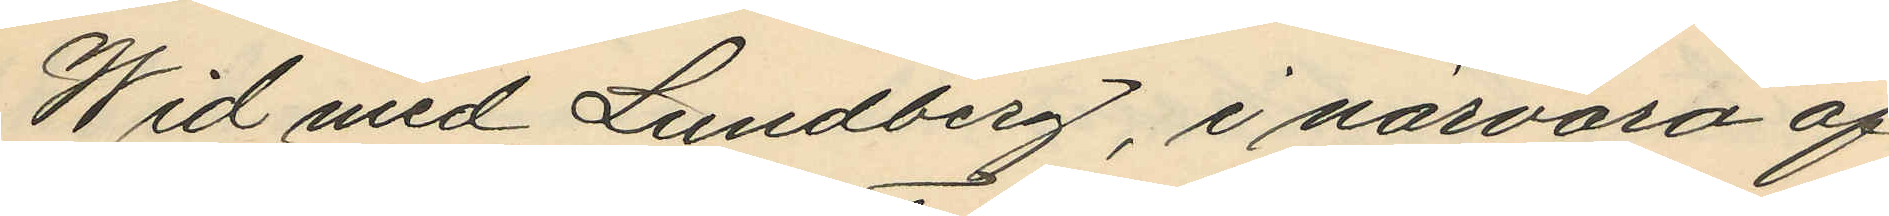Wid med Lundberg, i närvaro af
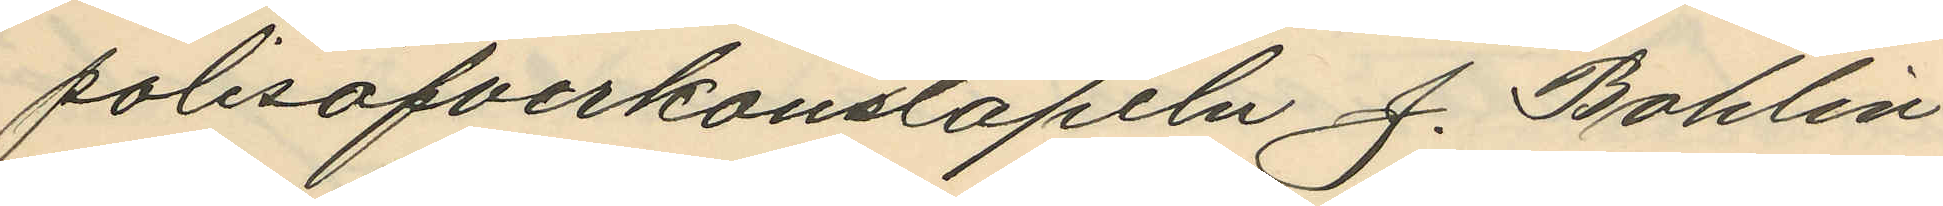polisöfverkonstapeln J. Bohlin
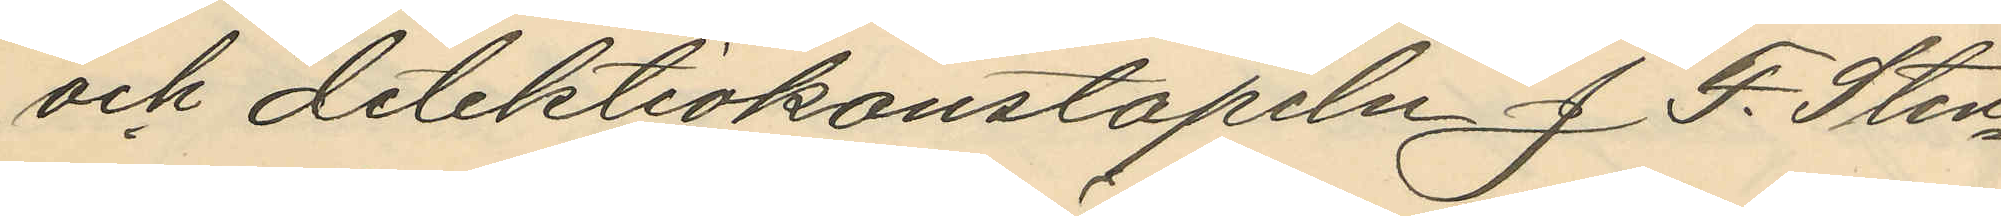och detektivkonstapeln J. F. Sten¬
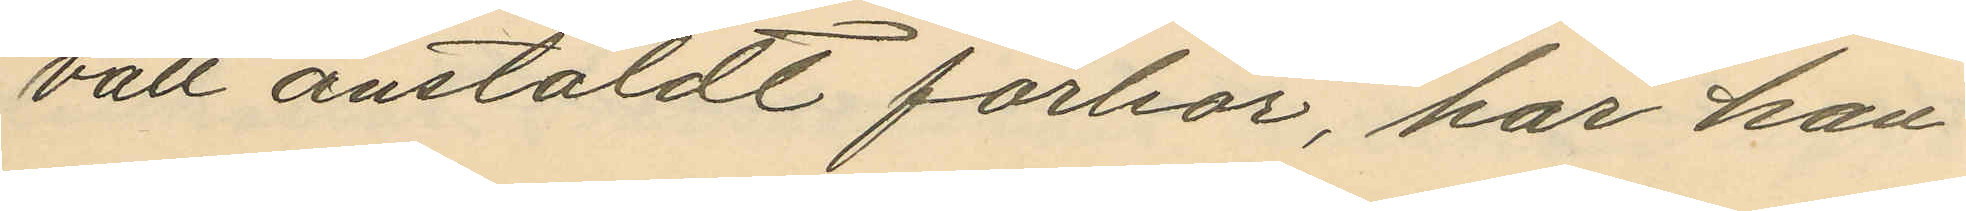vall anstäldt förhör, har han
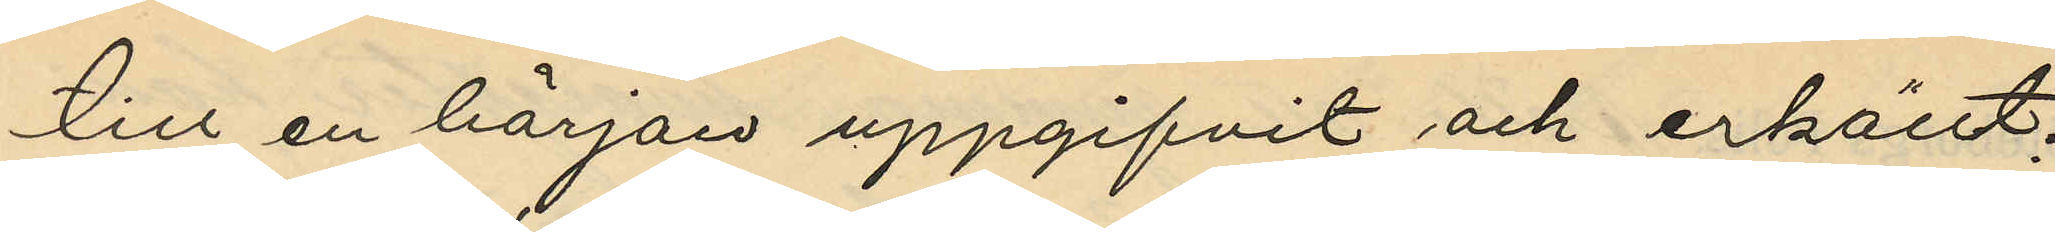till en början uppgifvit och erkänt;
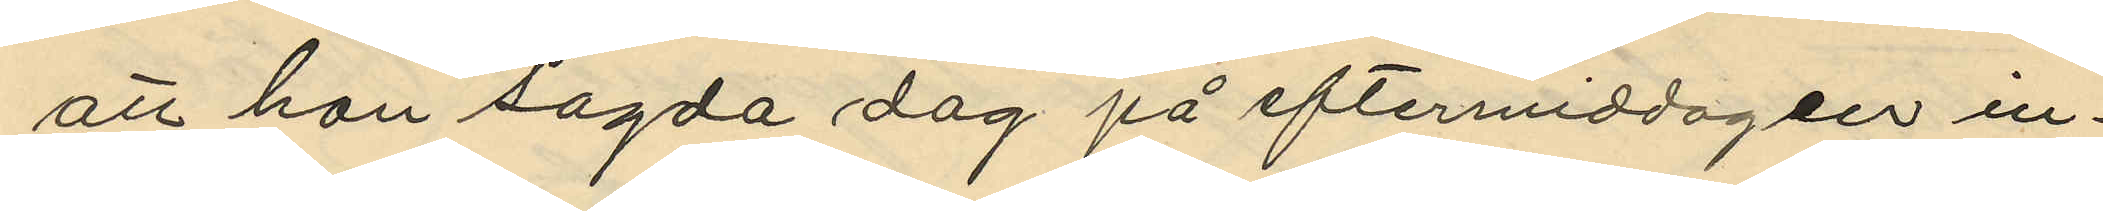att han sagda dag på eftermiddagen in¬
